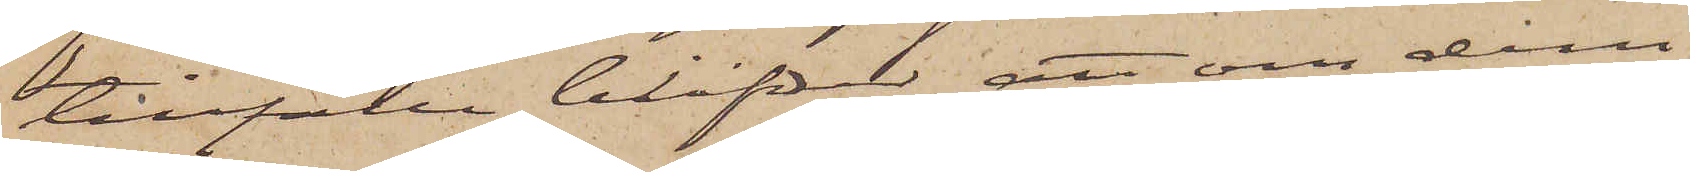tillfälle blifver att om dem
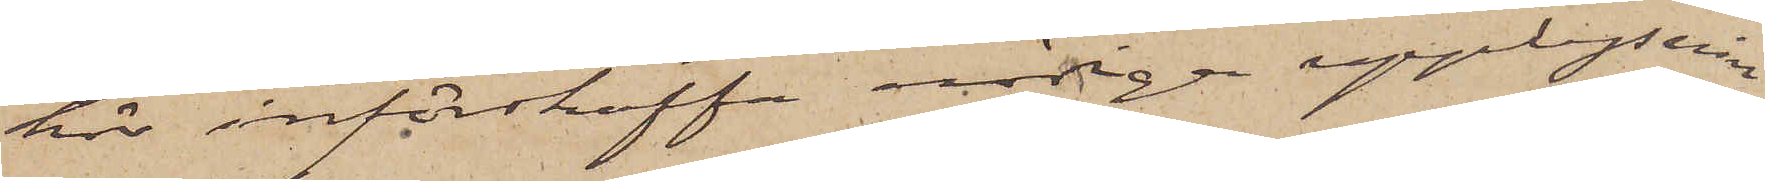här införskaffa nödiga upplysnin¬
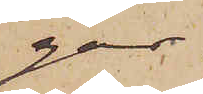gar.
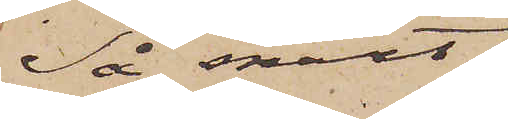Så snart
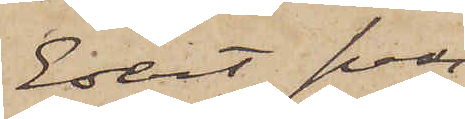Edert svar
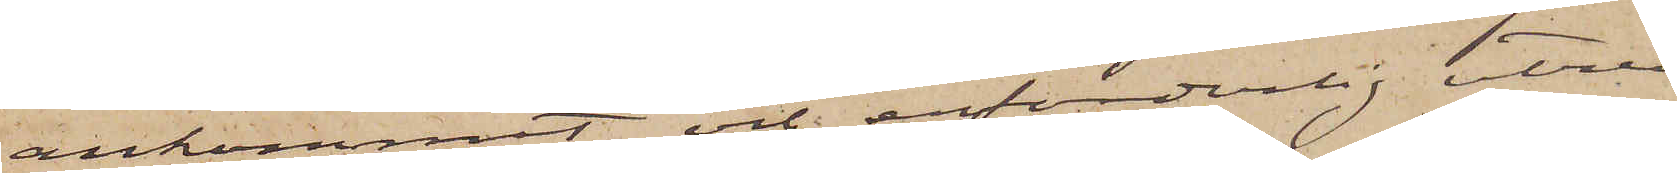ankommit och erforderlig utred¬
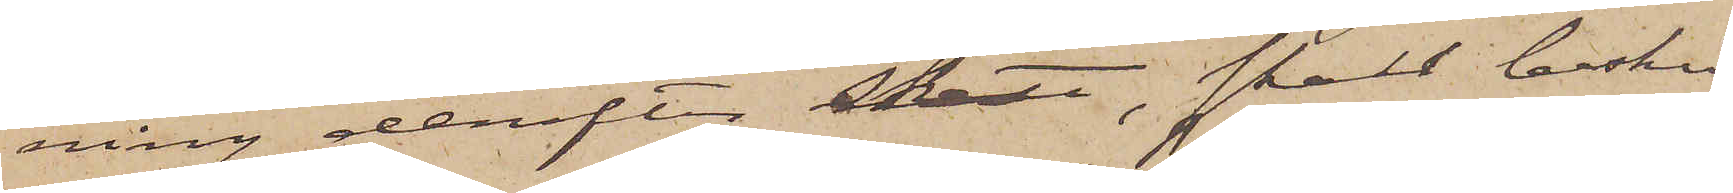ning derefter skett, skall besked
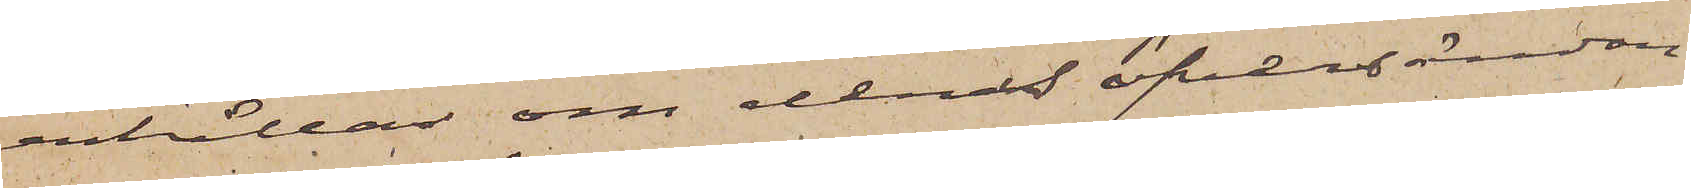erhållas om deras öfversändan¬
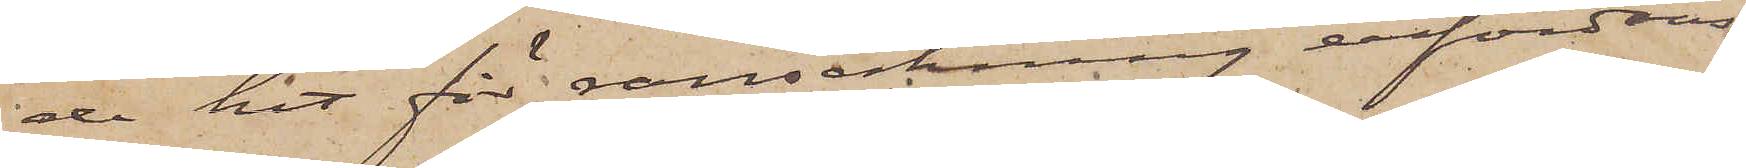de hit för ransakning erfordras.
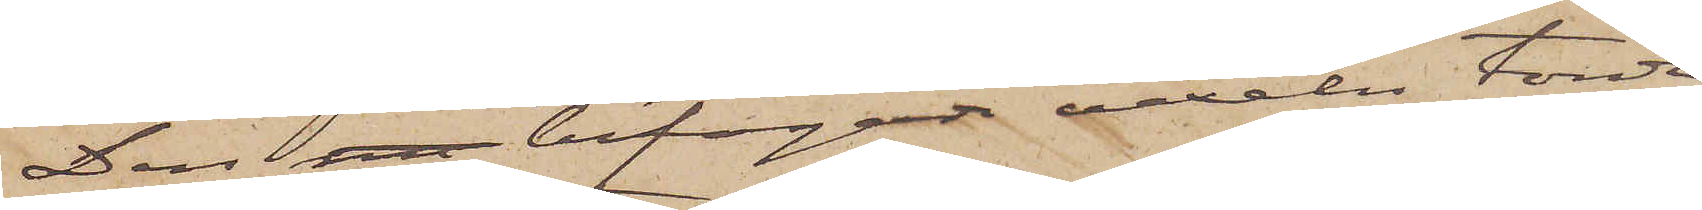Den me bifogade vexeln torde
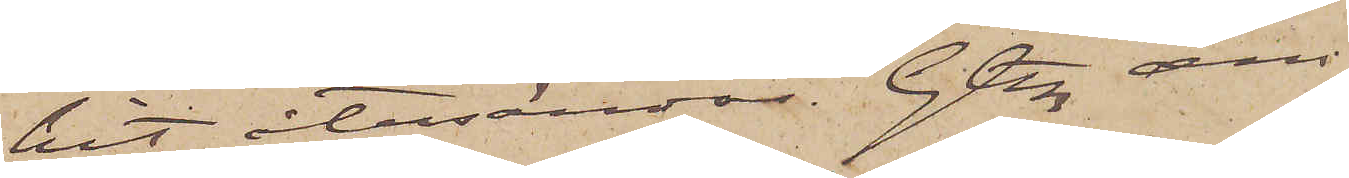hit återsändas. Gtbg den
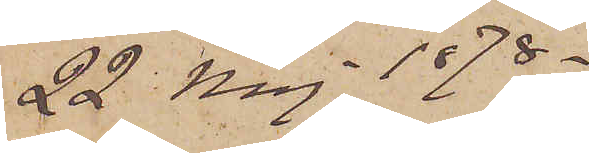22 Maj 1878.
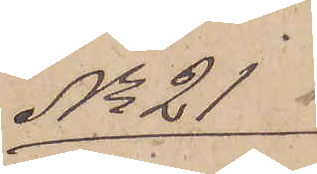No 21
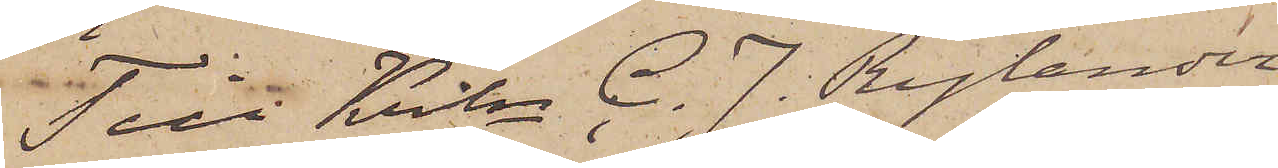Till Krln C. J. Rylander
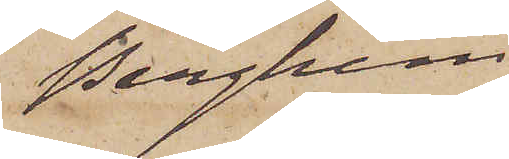Berghem
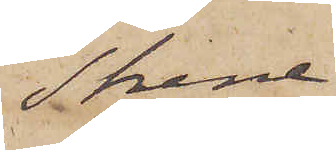Skene.
